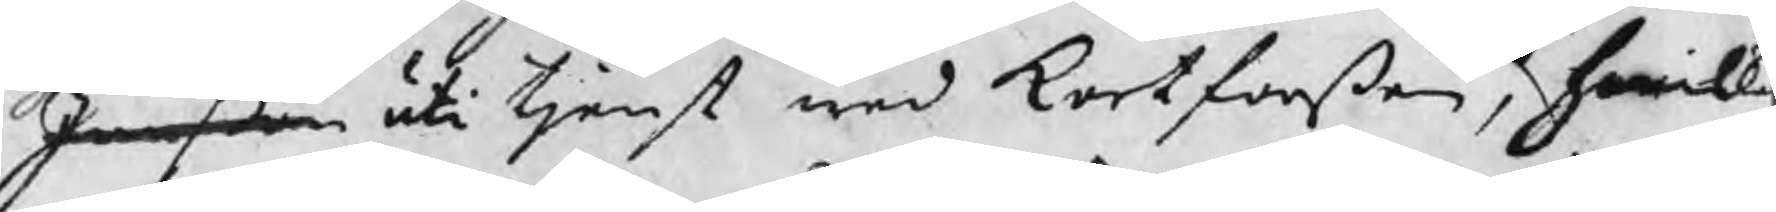Janßon uti tjenst wed Kortforßen, hwilk
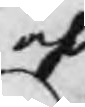och
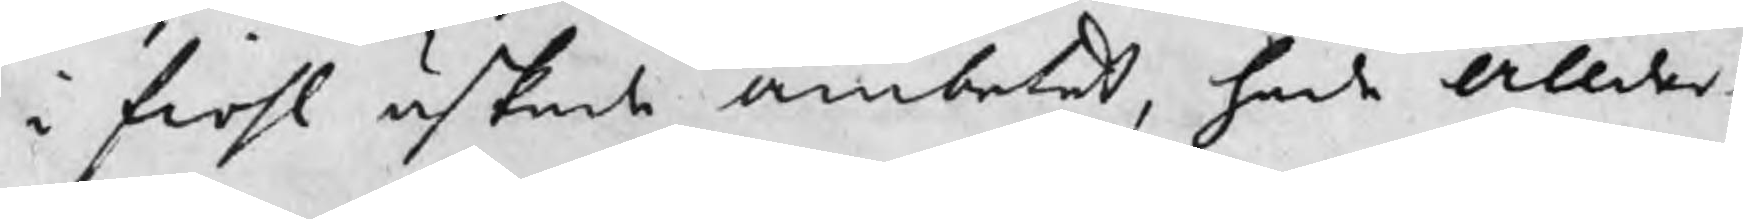i fiohl äskade ämbetet, hade Ållder¬
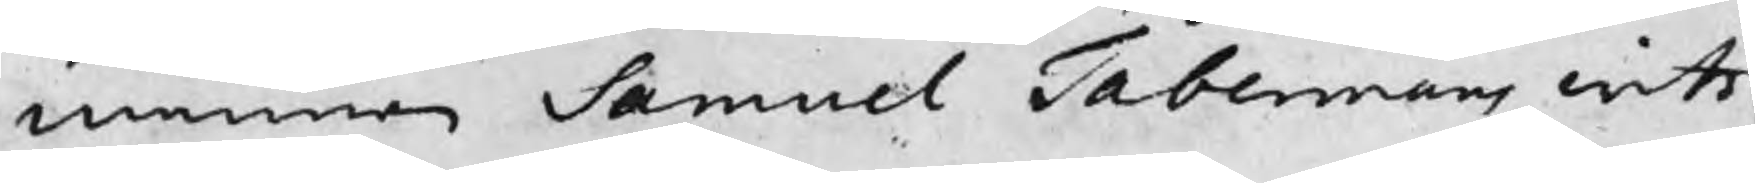mannen Samuel Tabermans witt¬
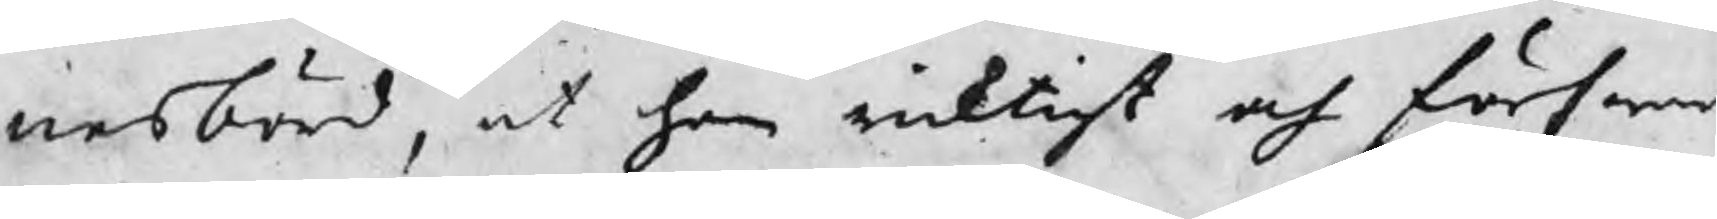¬nesbörd, at han riktigt och förswar
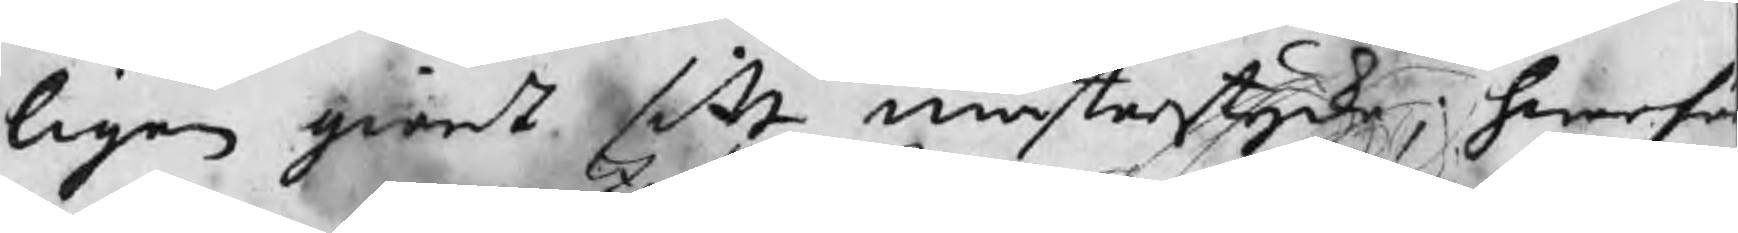ligen giordt sitt mästerstycke, hwarfö
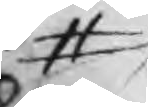#
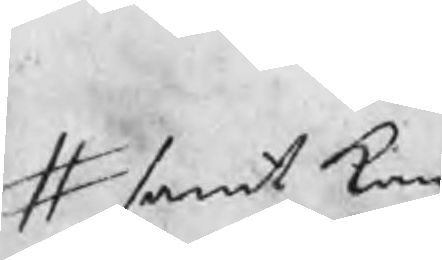# samt kan
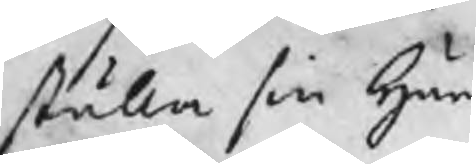ställa sin härd
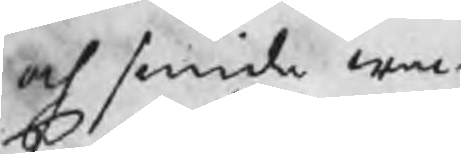och smida wac¬
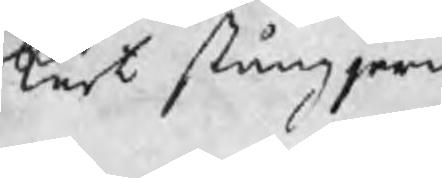kert stångjern.
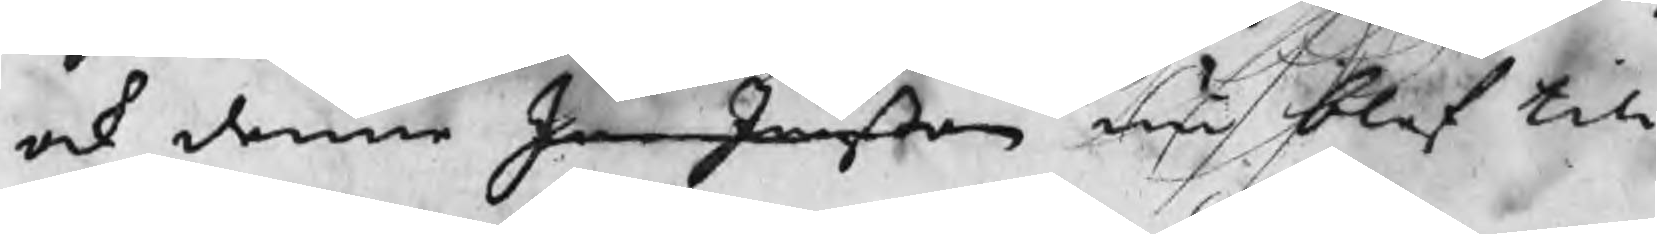ock denne Jan Janßon nu blef till
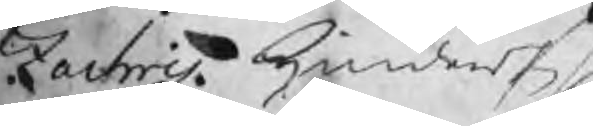Zachris Hindersson
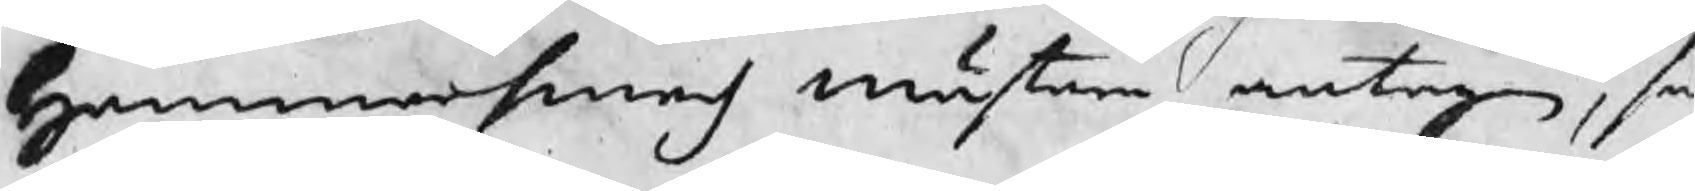Hammarsmeds mästare antagen, så
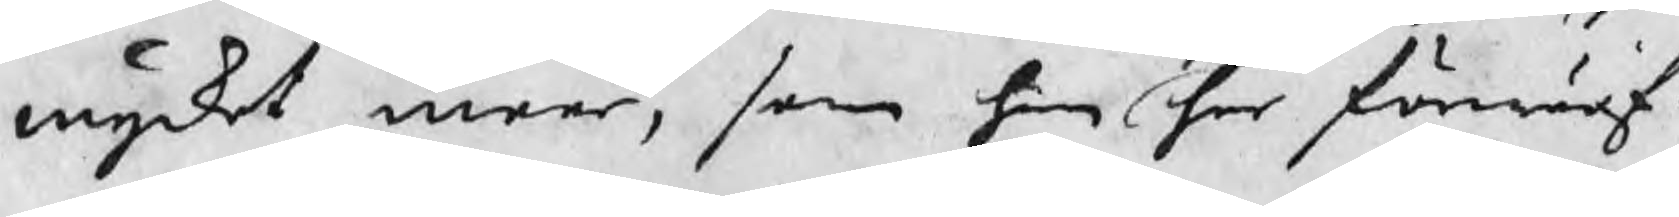mycket meer, som han har förwärf¬
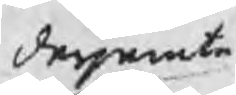derjemte
